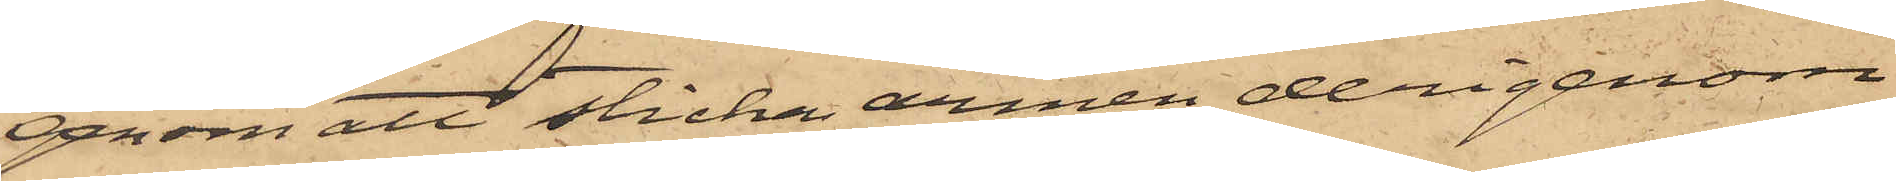genom att sticka armen derigenom
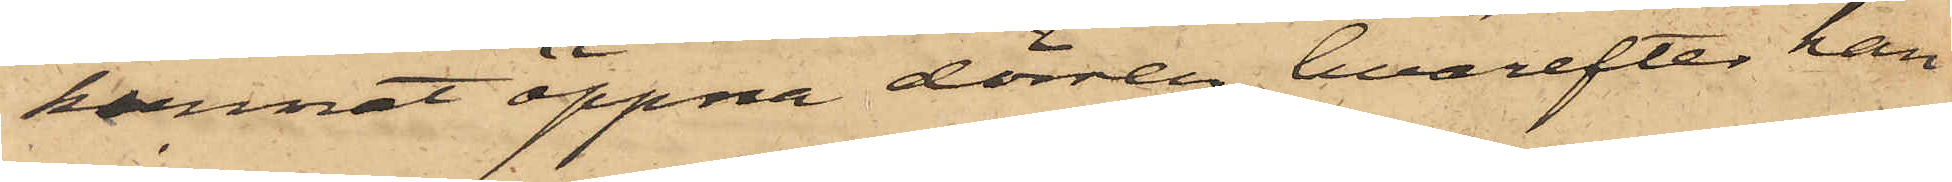kunnat öppna dörren, hvarefter han
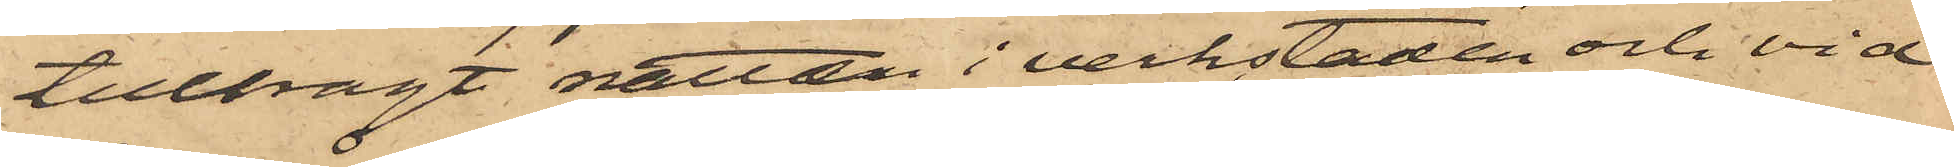tillbragt natten i verkstaden och vid
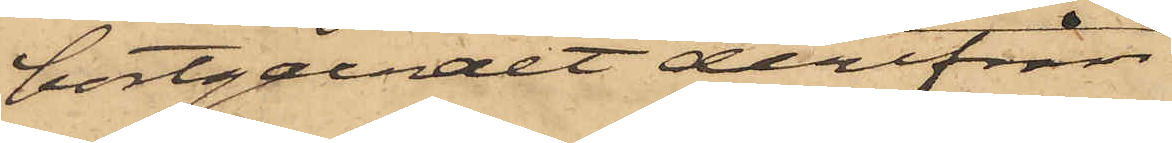bortgåendet derifrån
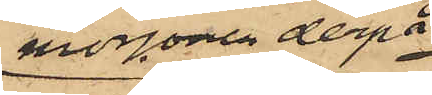morgonen derpå
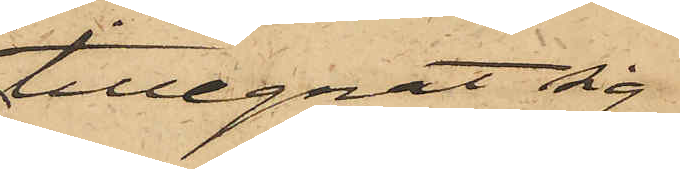tillegnat sig
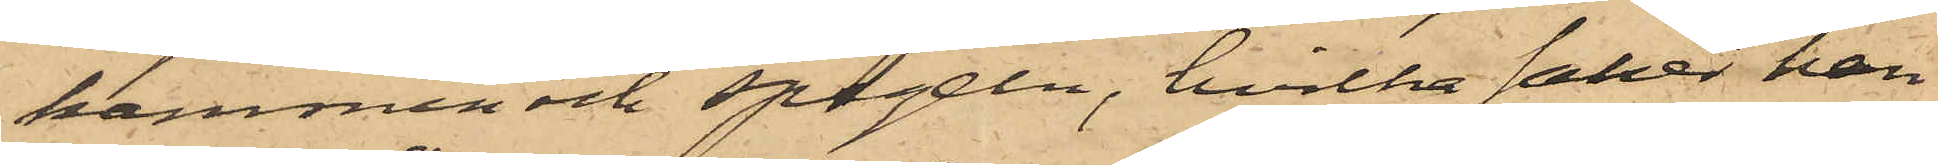kammen och spegeln, hvilka saker han
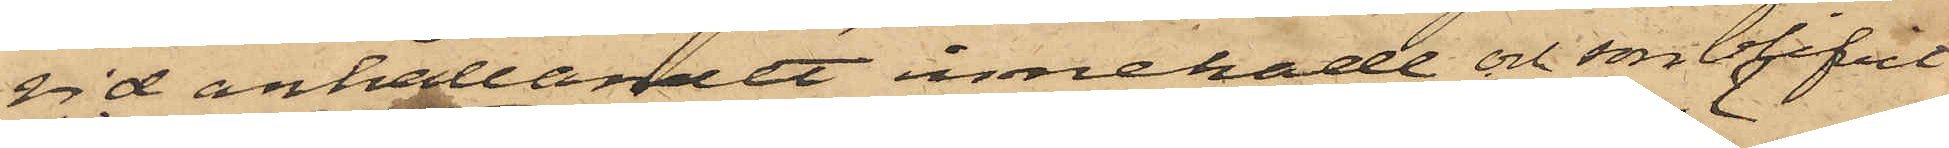vid anhållandet innehade och som blifvit
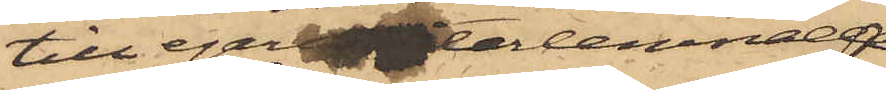till egaren återlemnade.
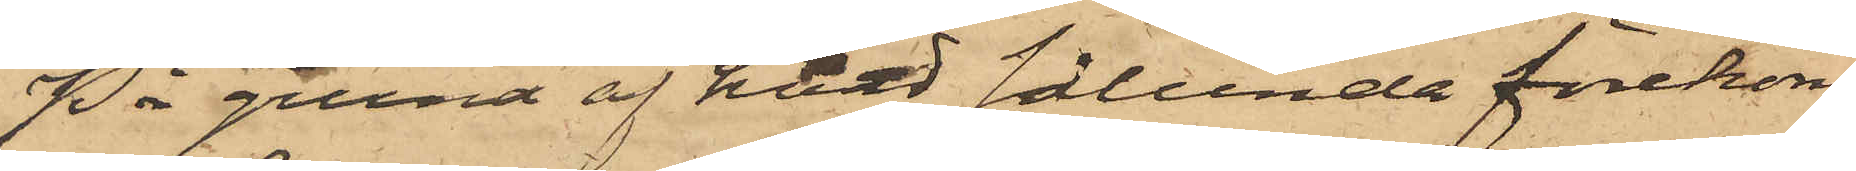På grund af hvad sålunda förekom¬
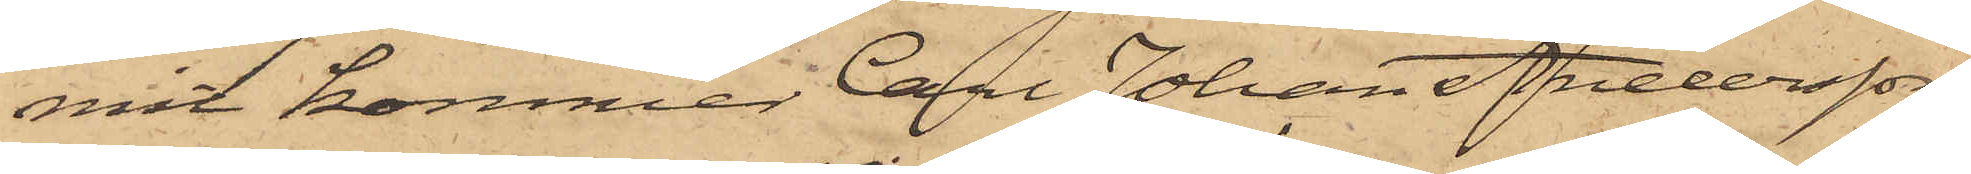mit kommer Carl Johan Andersson,
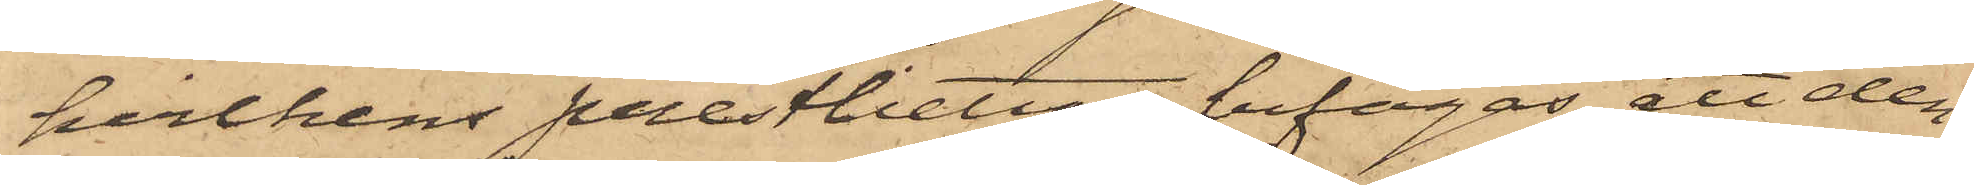hvilkens prestbetyg bifogas, att den¬
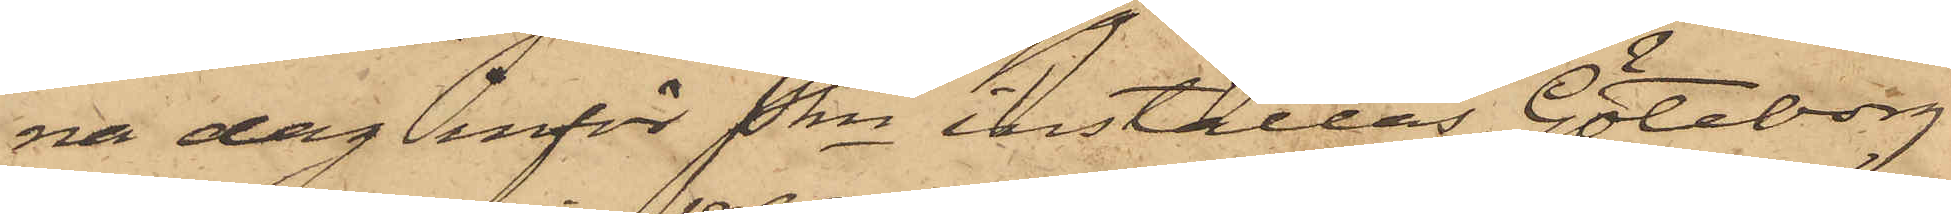na dag inför Pkn inställas. Göteborg
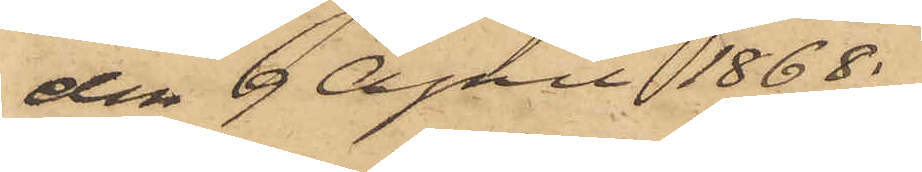den 9 April 1868.
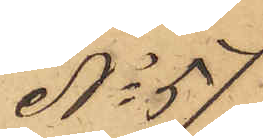No 57.
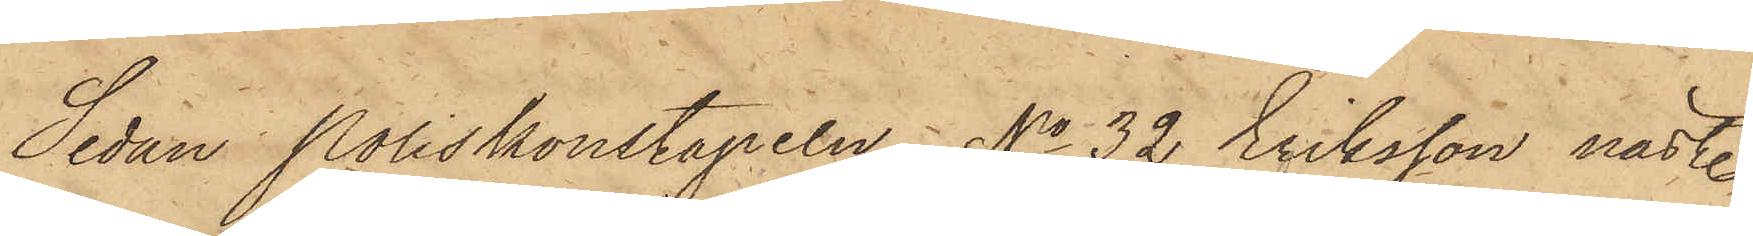Sedan Poliskonstapeln No 32 Eriksson näst.
